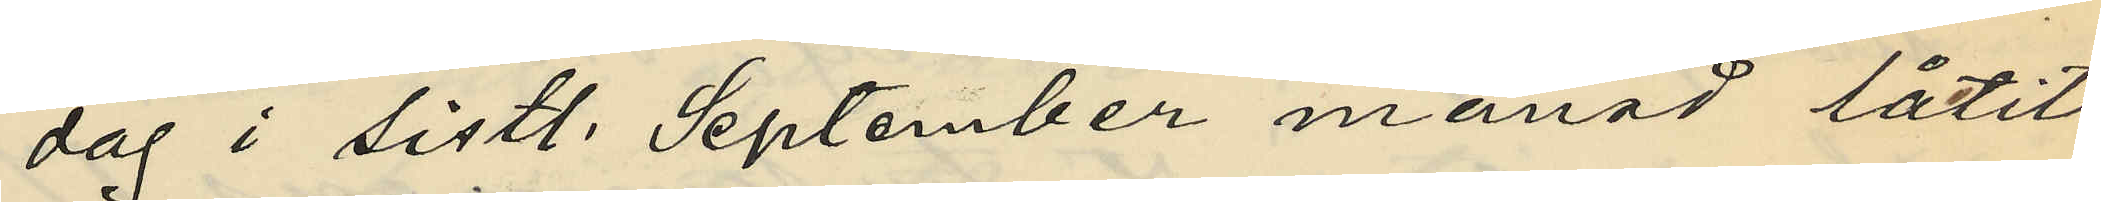dag i sistl. September månad låtit
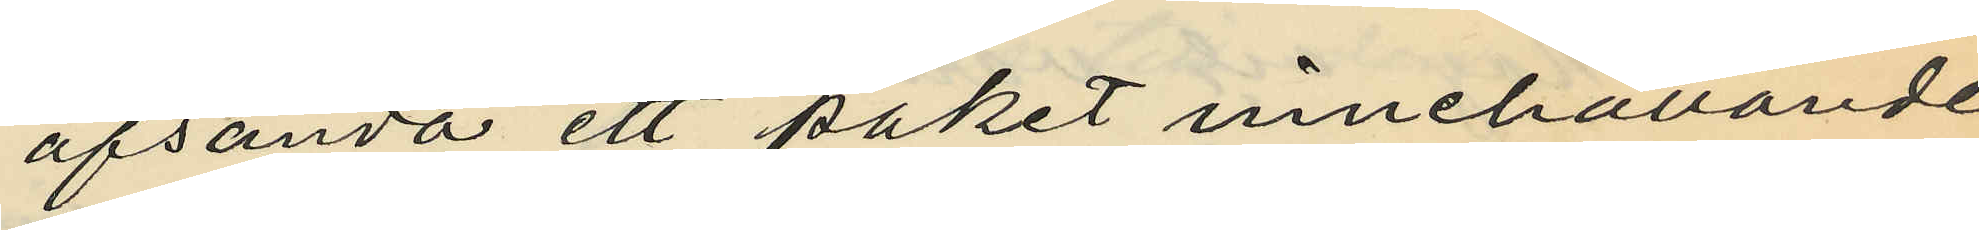afsända ett paket innehållande
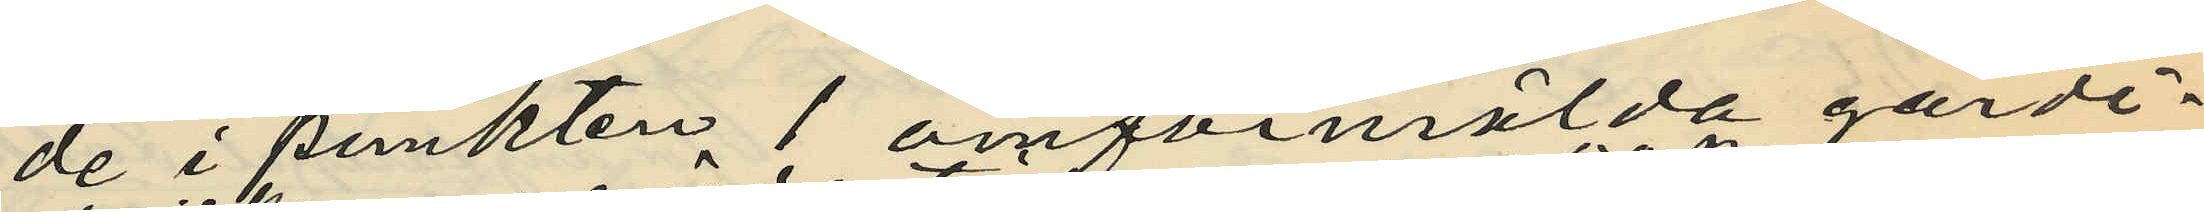de i punkten 1 omförmälda gardi¬
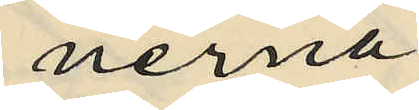nerna
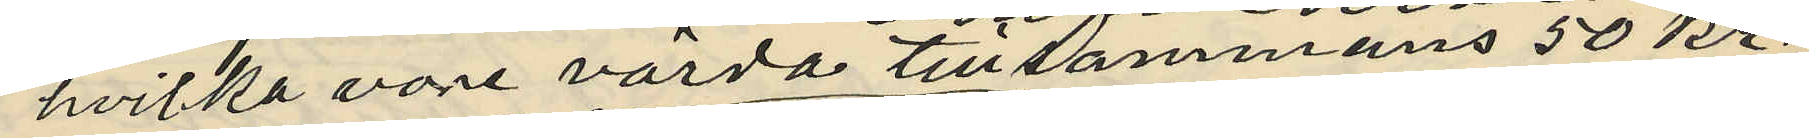hvilka vore värda tillsammans 50 kr
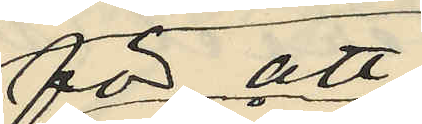för att
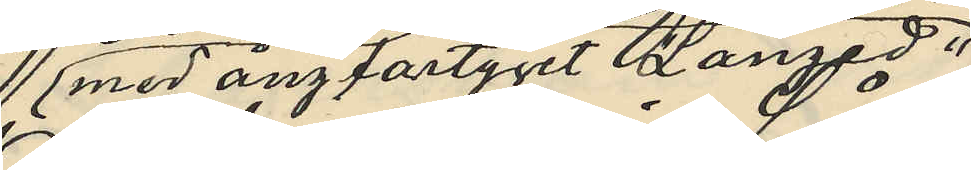med ångfartyget "Langed"
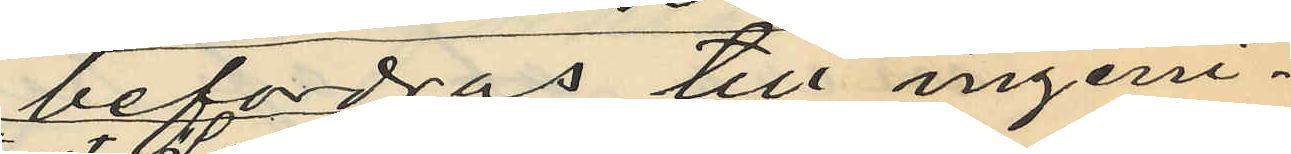befodras till ingeni¬
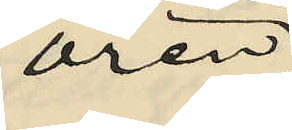ören
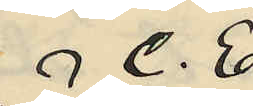C. E
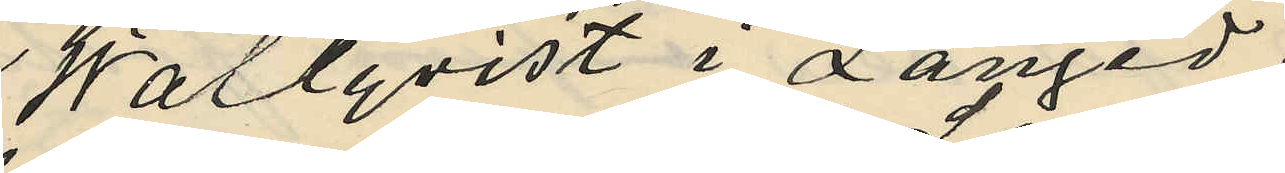Wallqvist i Långed;
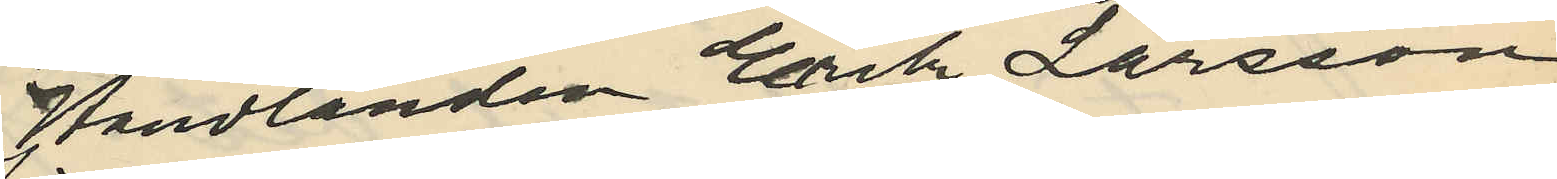Handlanden Erik Larsson
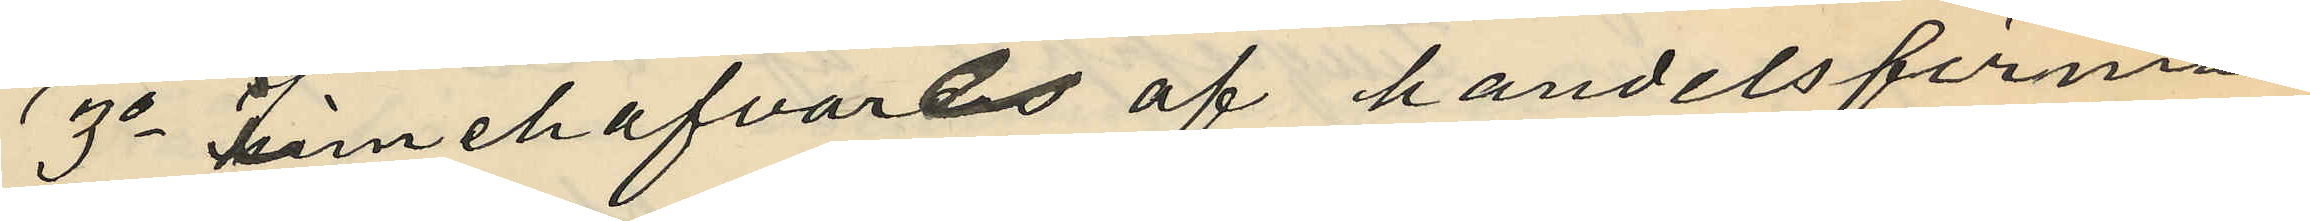3o innehafvare af handelsfirman
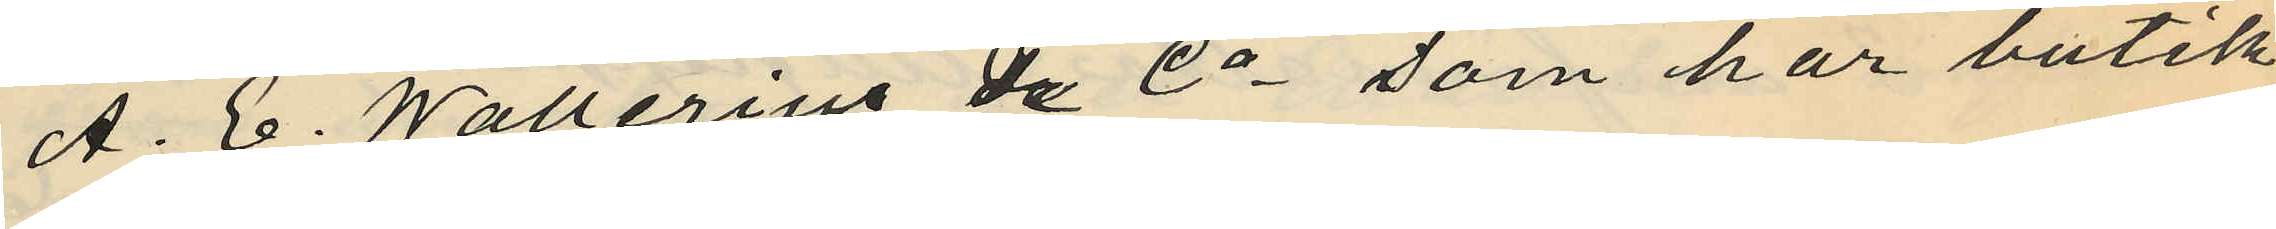A. E. Wallerius & Co som har butik
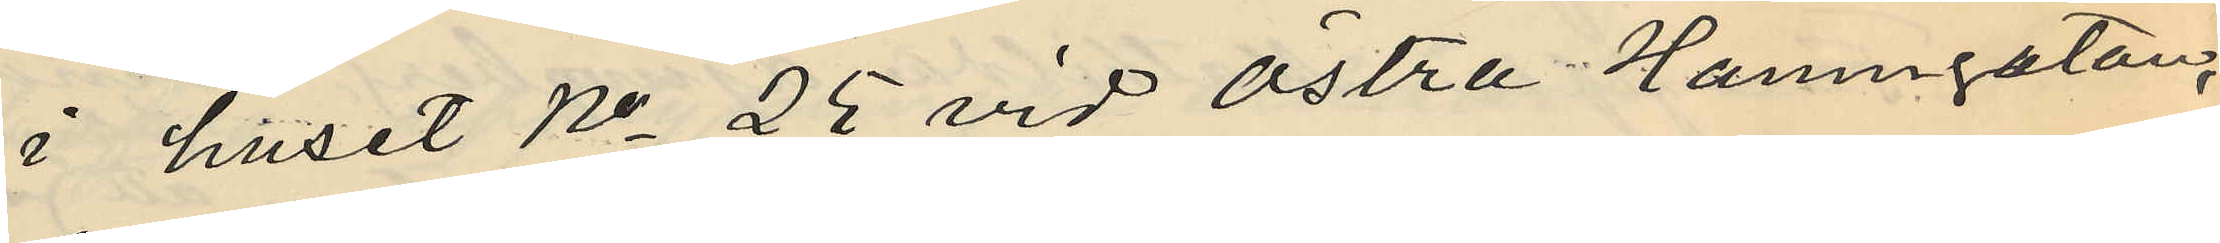i huset No 25 vid Östra Hamngatan;
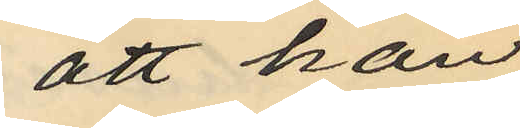att han
